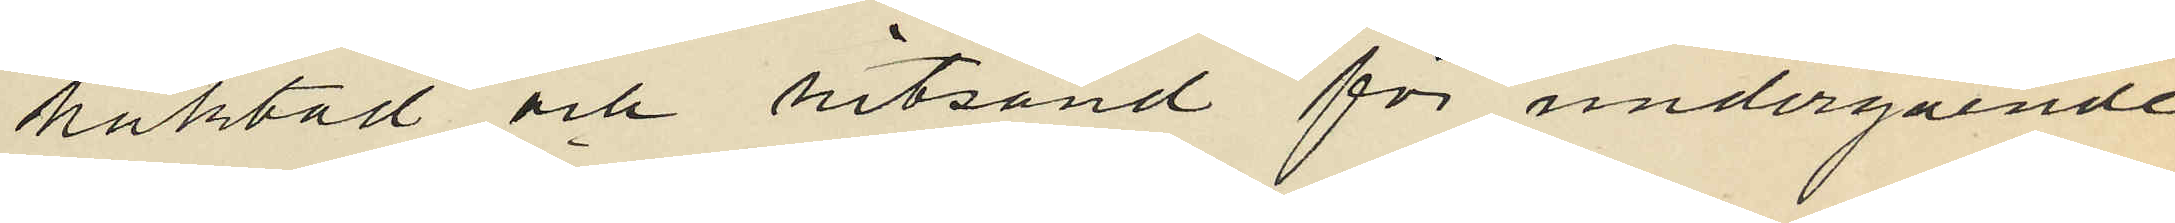häktad och hitsänd för undergående
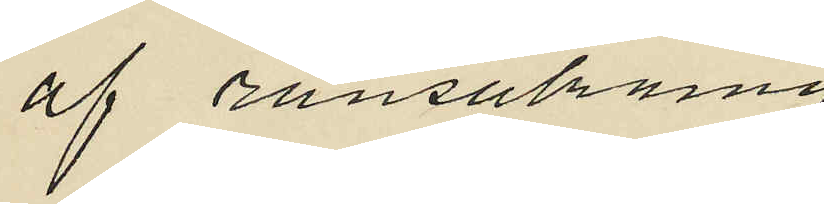af ransakning.
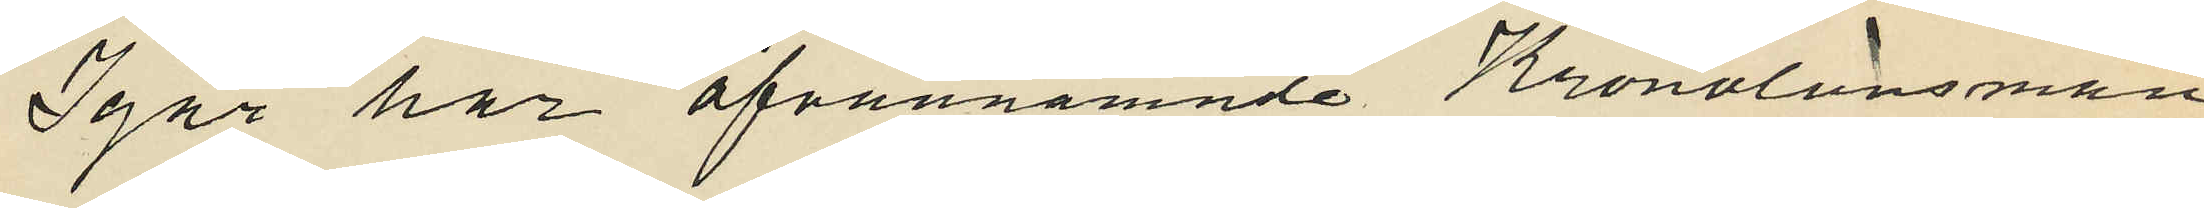Igår har ofvannämnde Kronolänsman
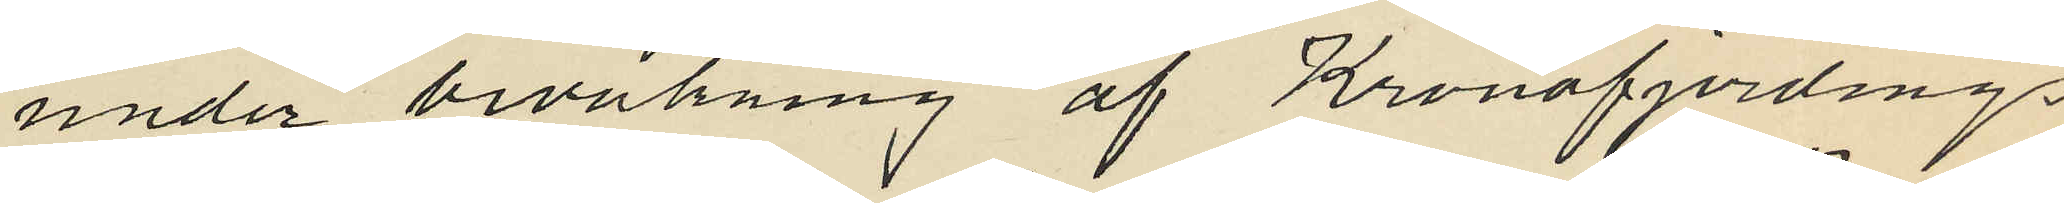under bevakning af Kronofjerdings
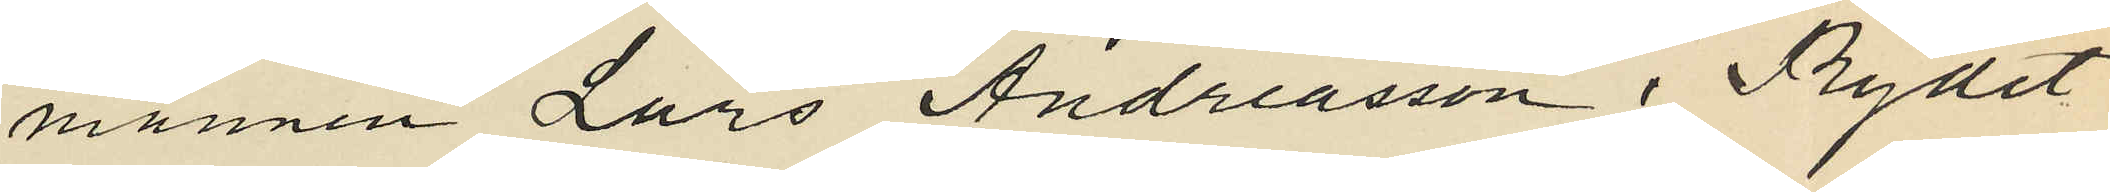mannen Lars Andreasson i Rydet
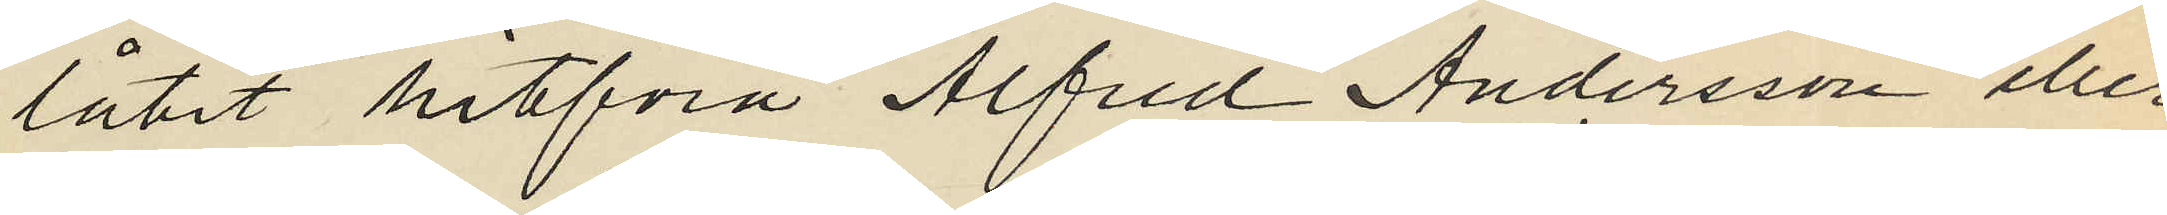låtit hitföra Alfred Andersson eller
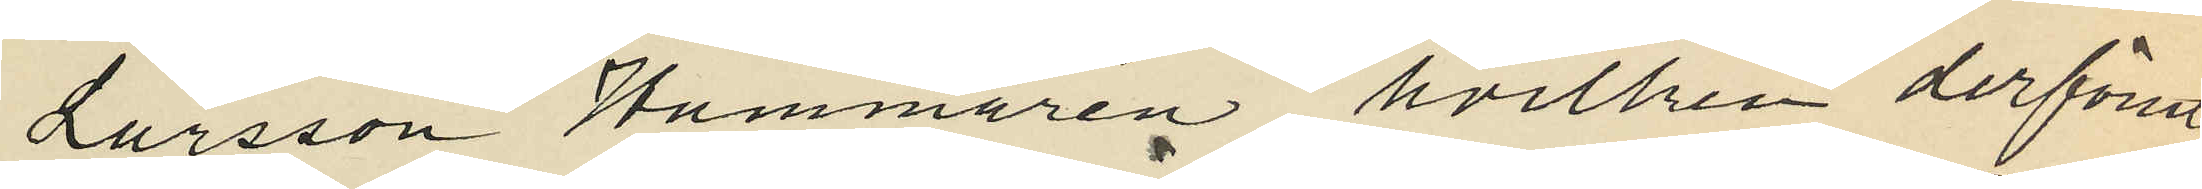Larsson Hammarén, hvilken derförut
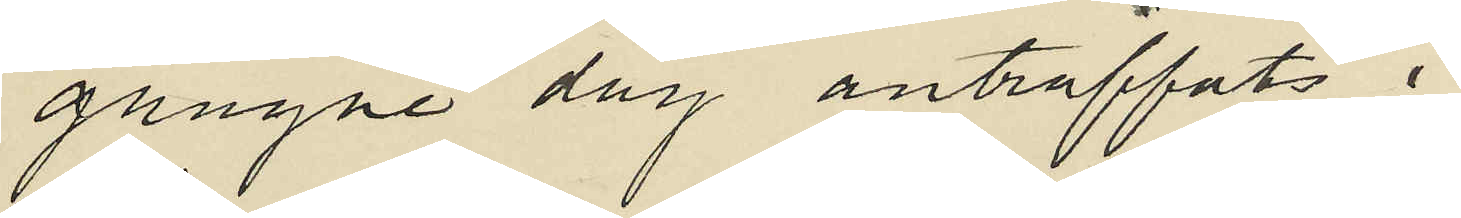gångne dag anträffats i
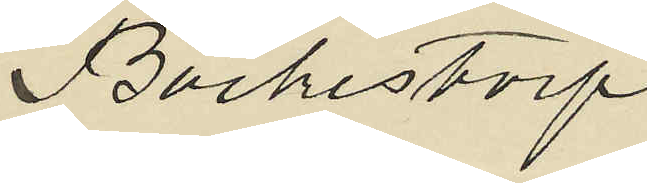Bäckestorp .
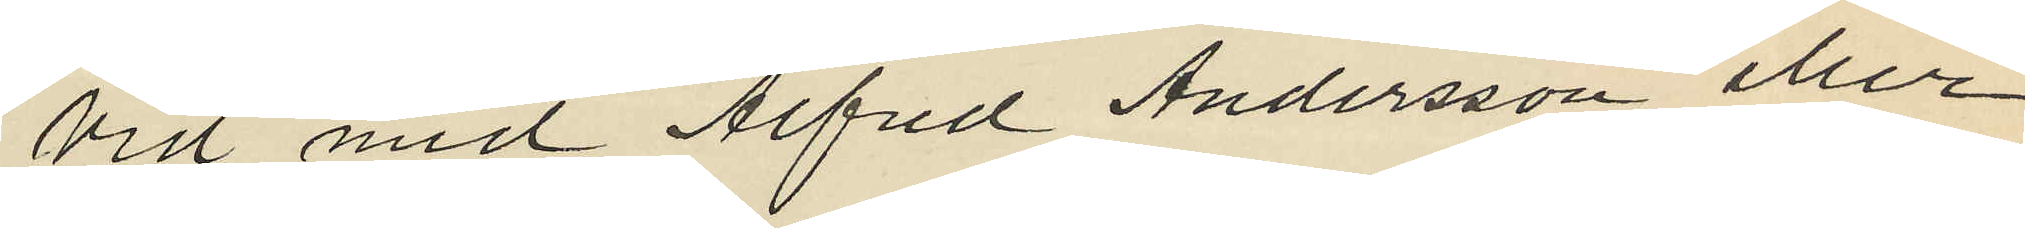Vid med Alfred Andersson eller
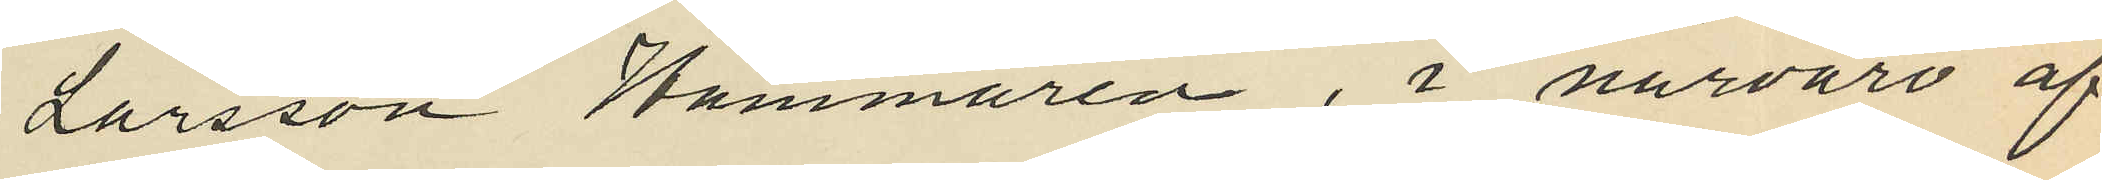Larsson Hammarén, i närvaro af
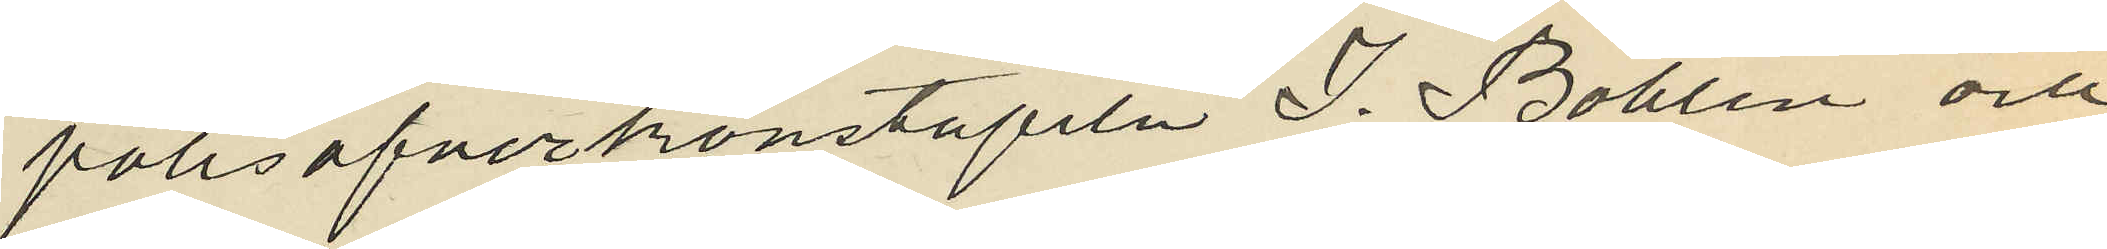polisöfverkonstapeln J. Bohlin och
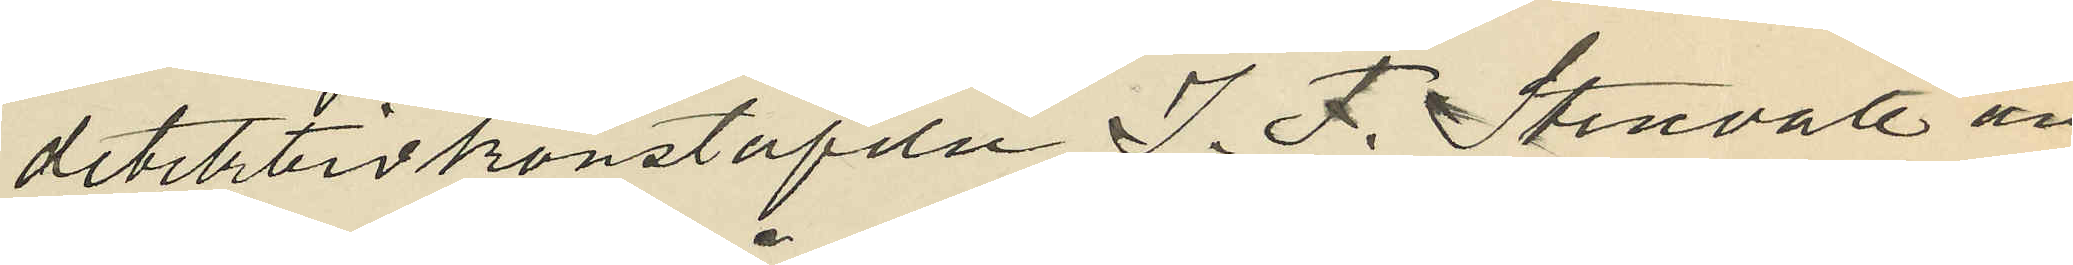detektivkonstapeln J. F. Stenvall an¬
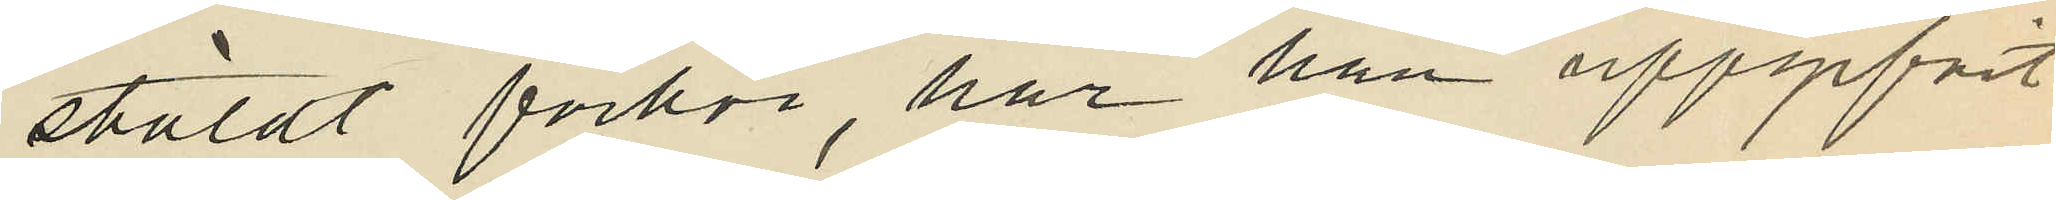stäldt förhör, har han uppgifvit
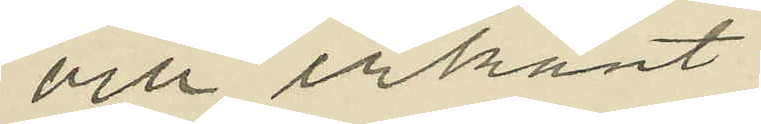och erkänt.
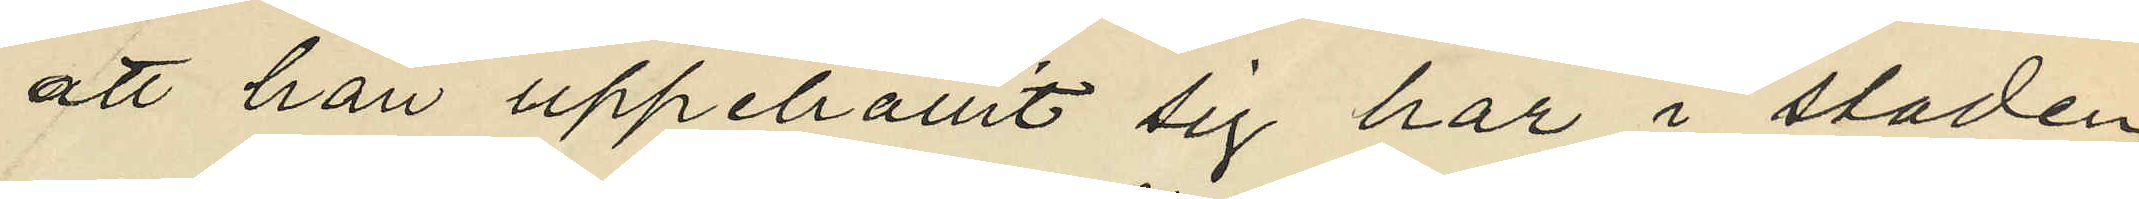att han uppehållit sig här i staden
